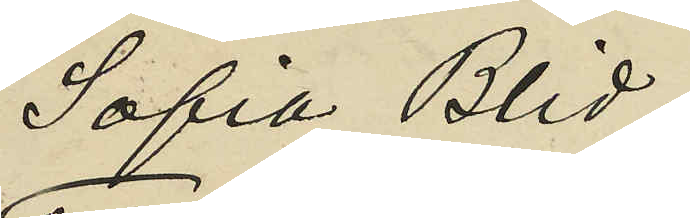Sofia Blid;
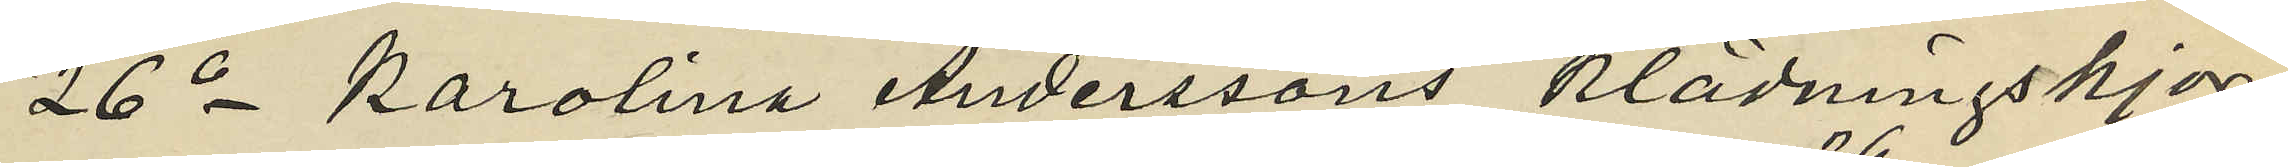26o Karolina Anderssons klädningskjor¬
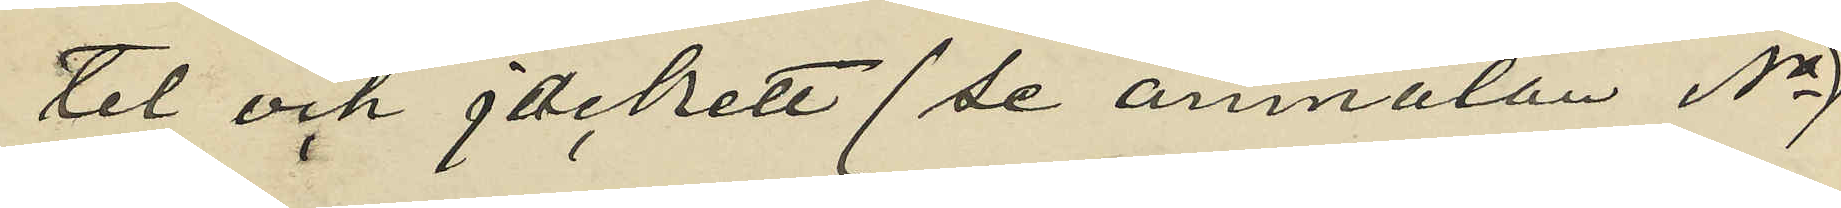tel och jackett (se anmälan No 
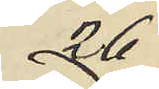26)
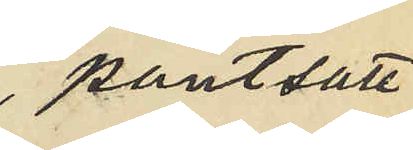 pantsatt
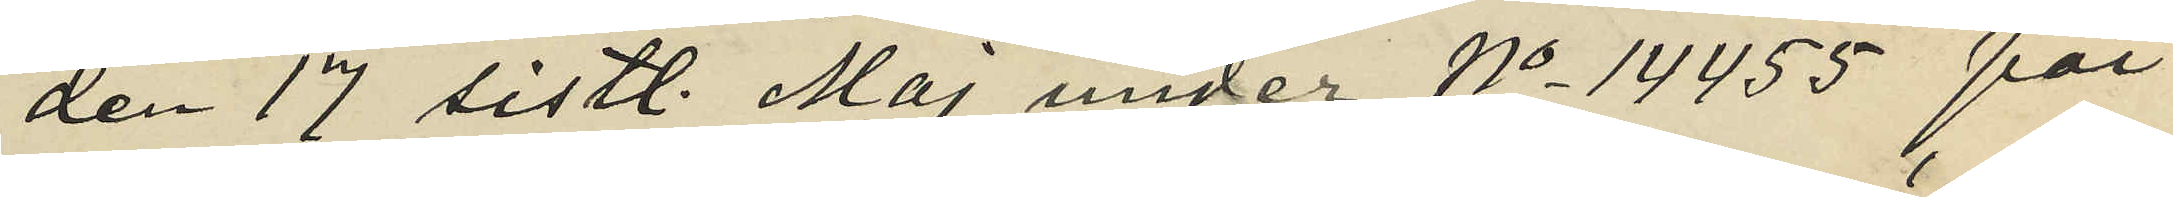den 17 sistl. Maj under No 14455 för
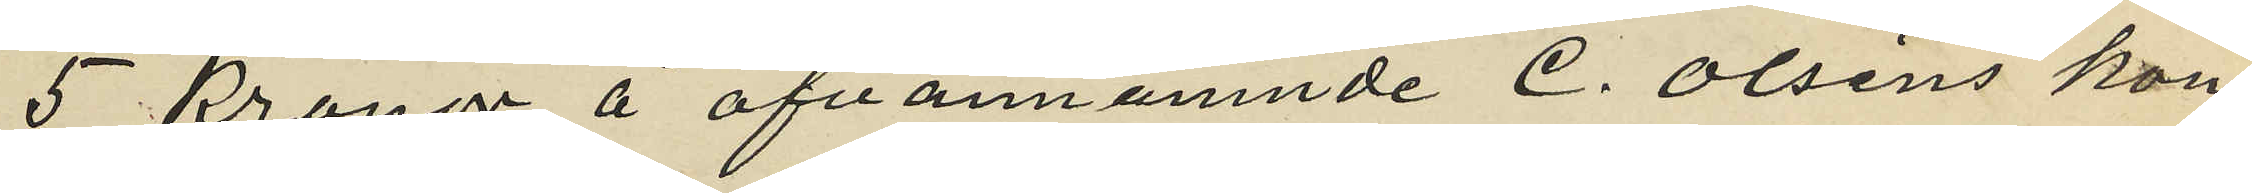5 kronor å ofvannämnde C. Olsens kon¬
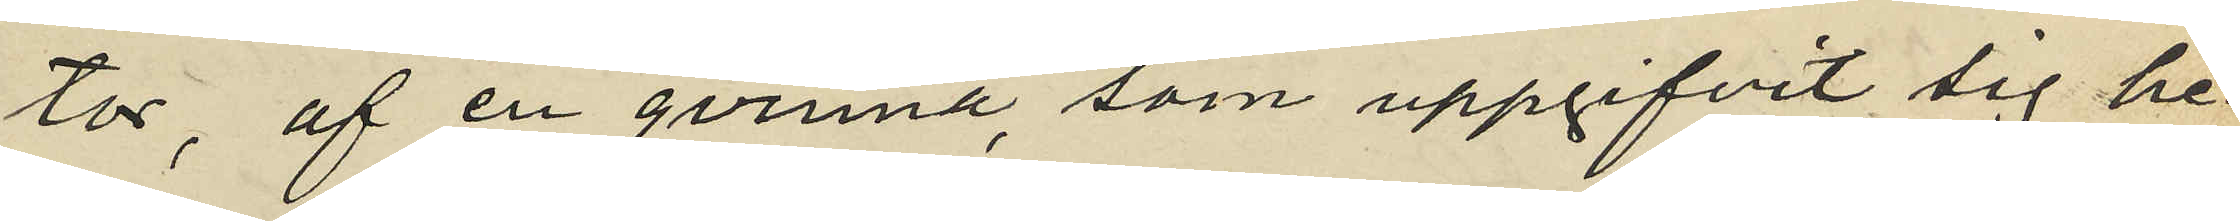tor, af en qvinna som uppgifvit sig he¬
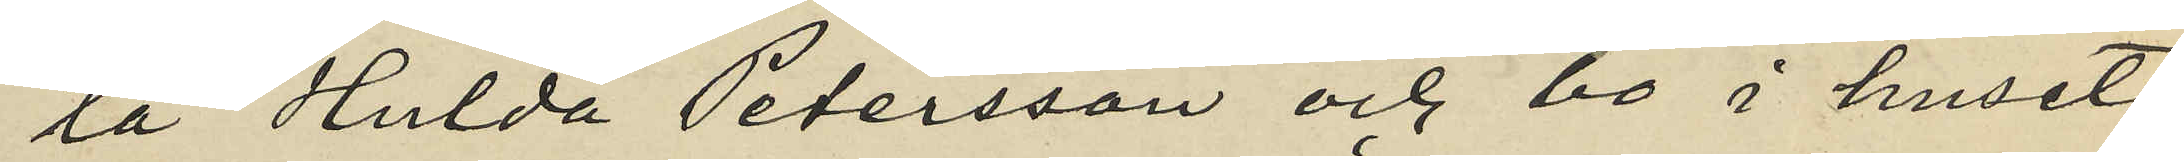ta Hulda Petersson och bo i huset
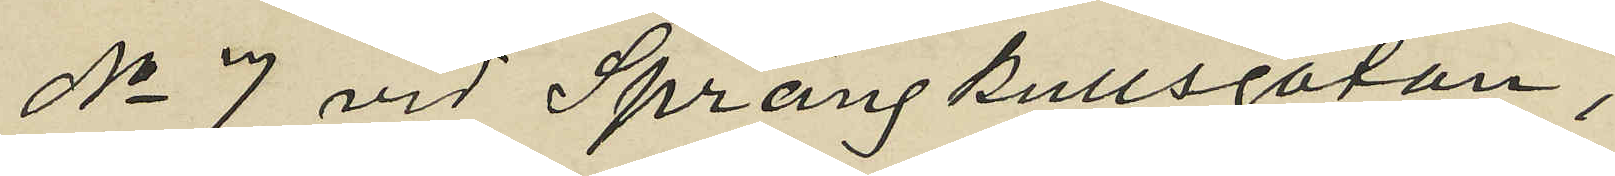No 7 vid Sprängkullsgatan,
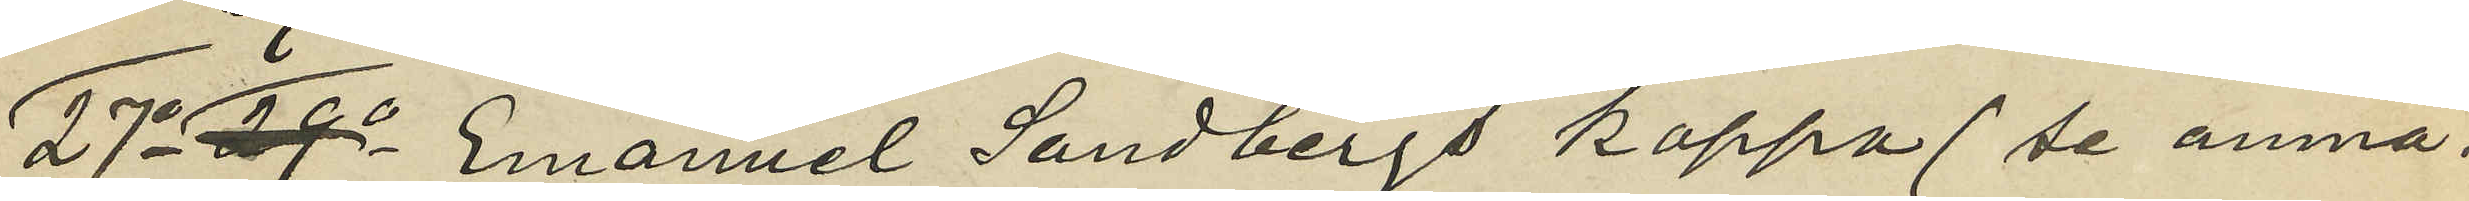27o 29o Emanuel Sandbergs kappa (se anmä¬
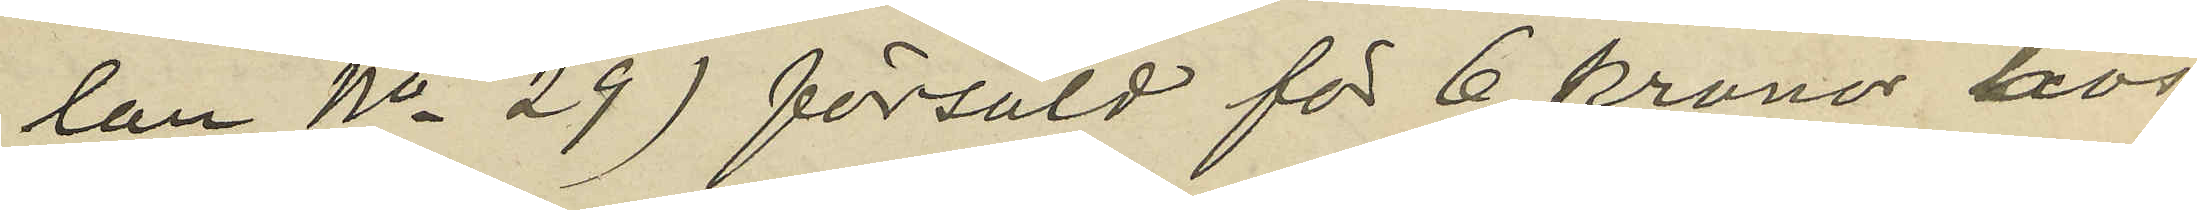lan No 29) försåld för 6 kronor hos
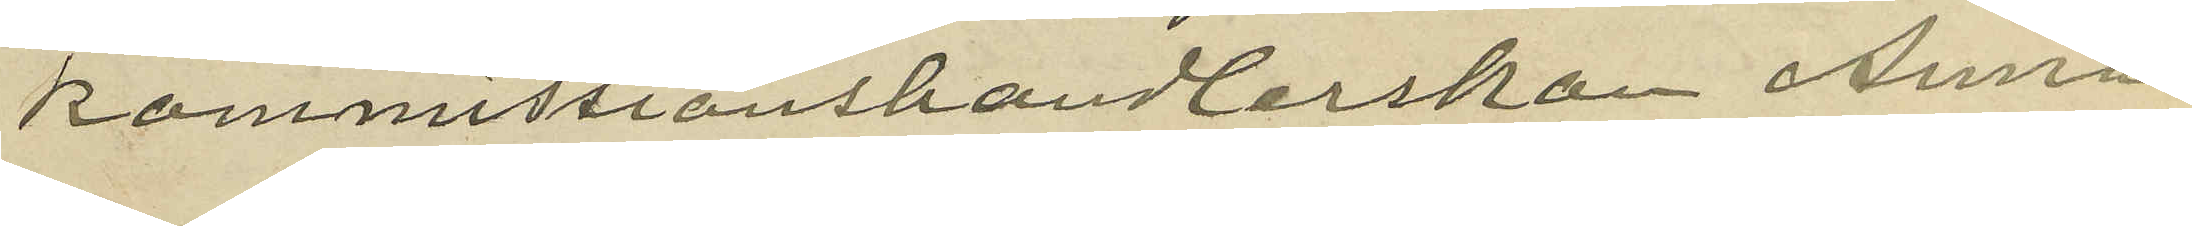kommissionshandlerskan Anna
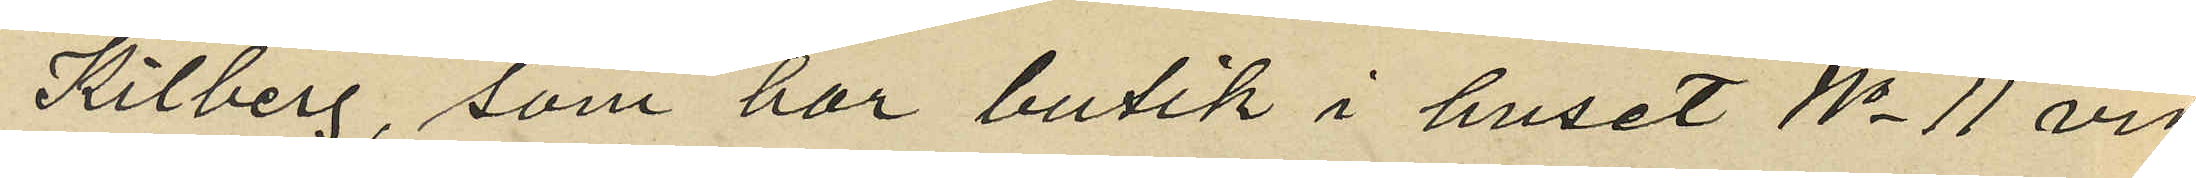Kilberg, som har butik i huset No 11 vid
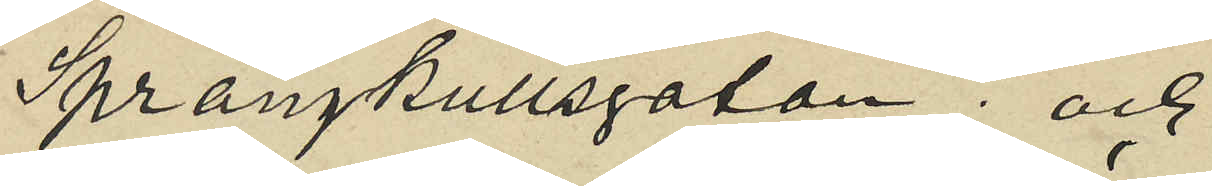Sprängkullsgatan; och
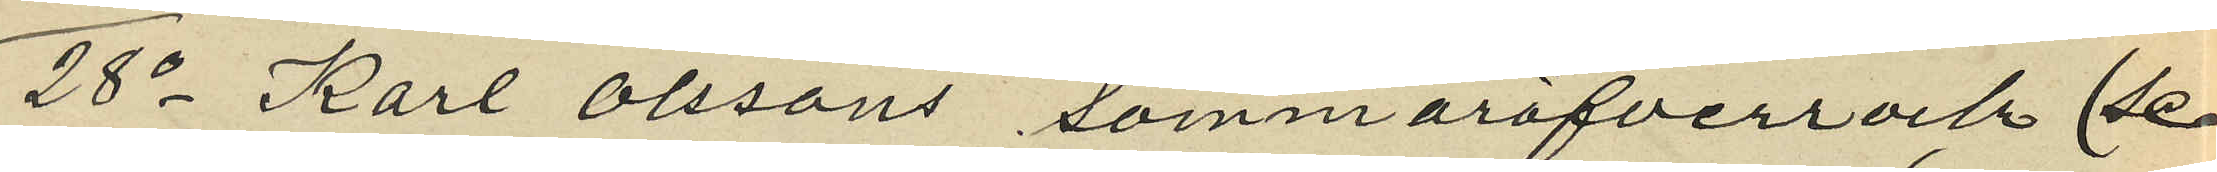28o Karl Olssons sommaröfverrock (se
